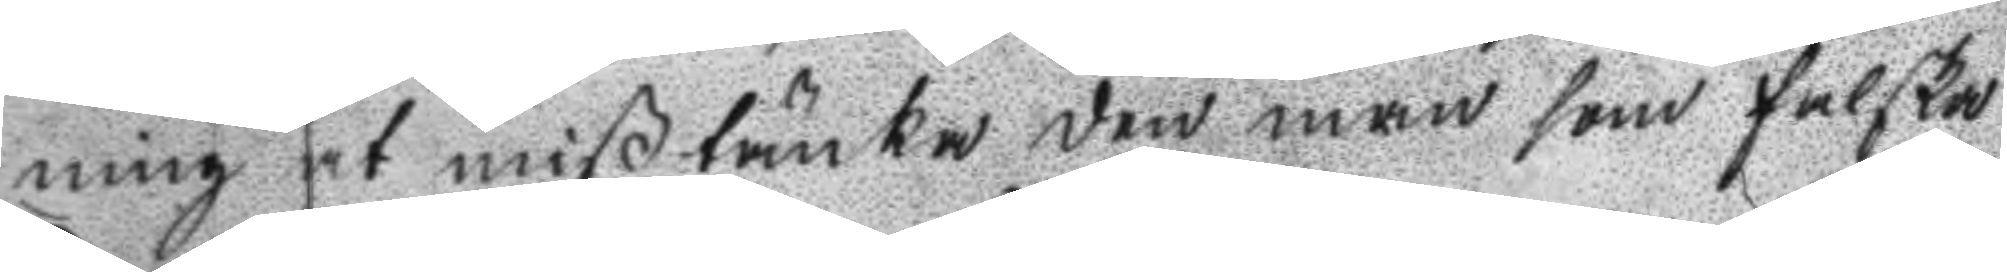ning at mißtänka den man som falska
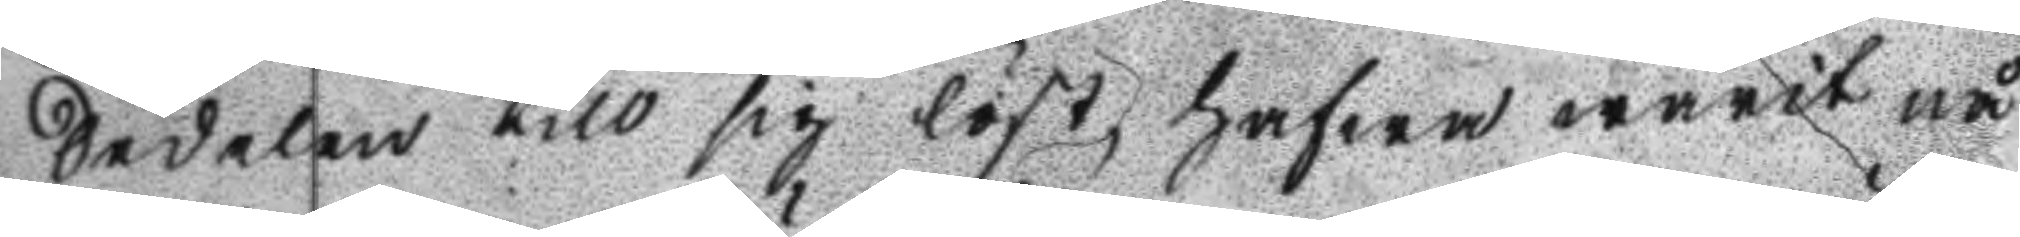Sedelen till sig löst, hwfwa warit nå
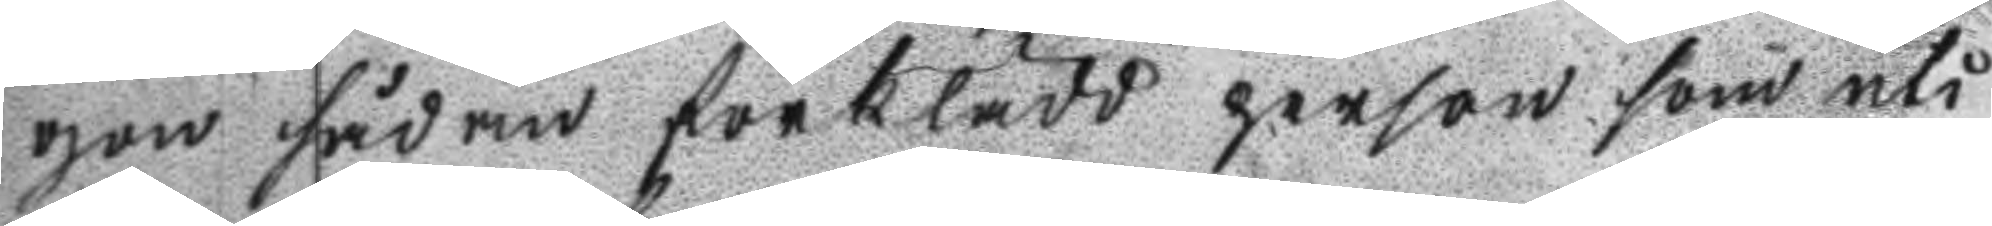gon sådan förklädd person som uti
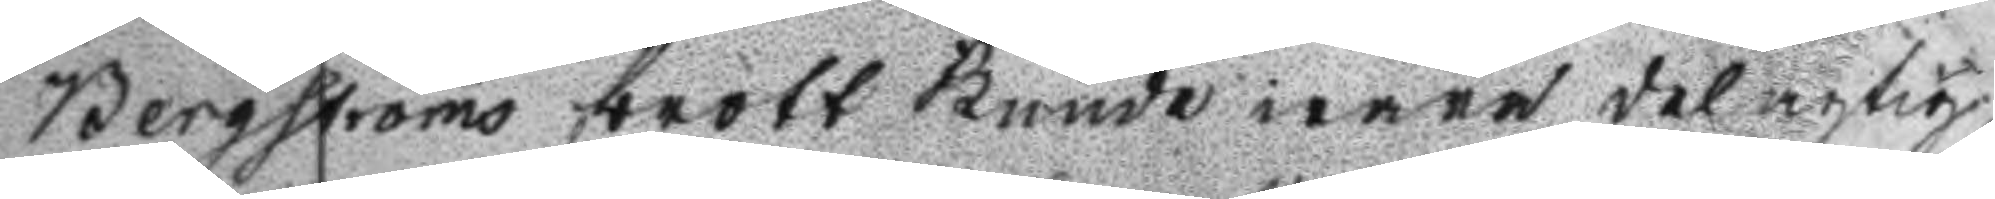Bergströms brott kunde wara delagtig,
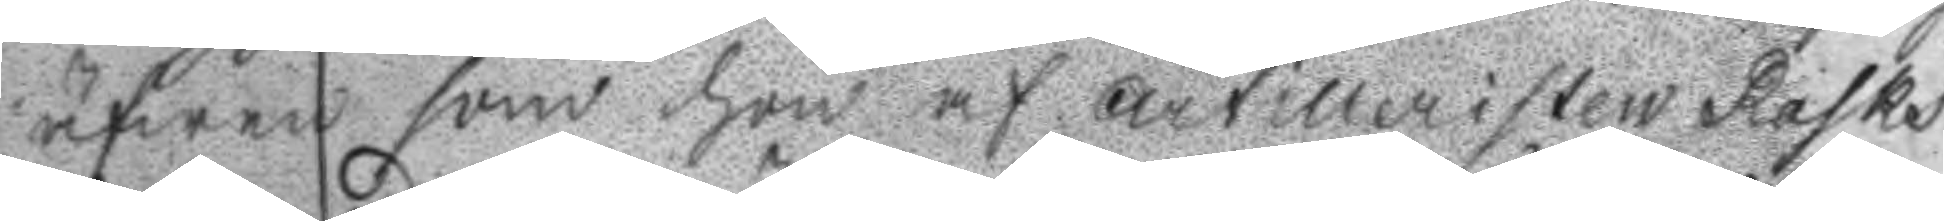äfwen som hon af Artilleristen Rasks
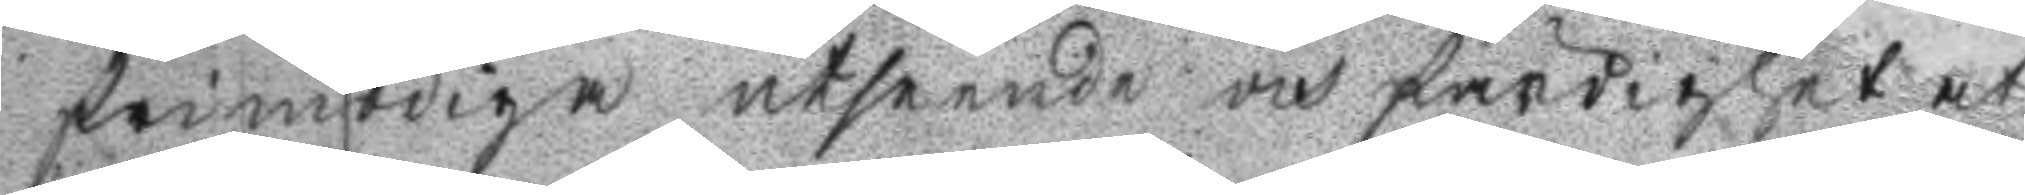frimodiga utseende och färdighet at
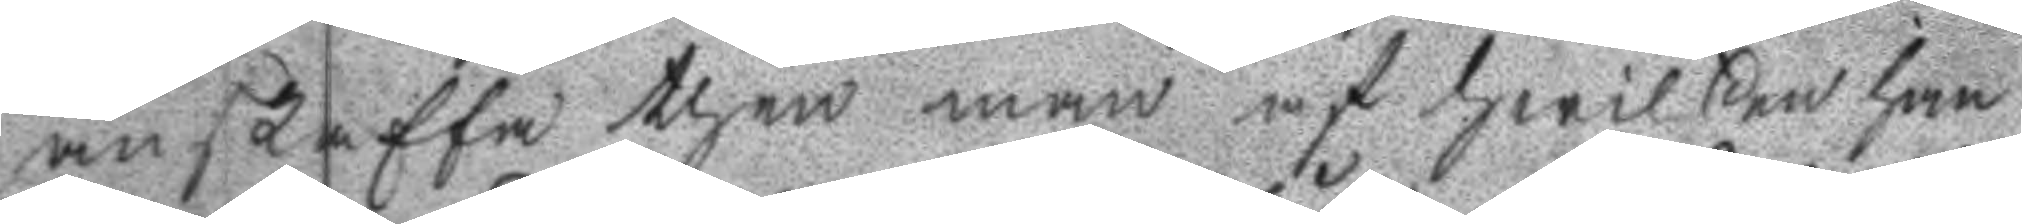abskaffa then man af hwilken han
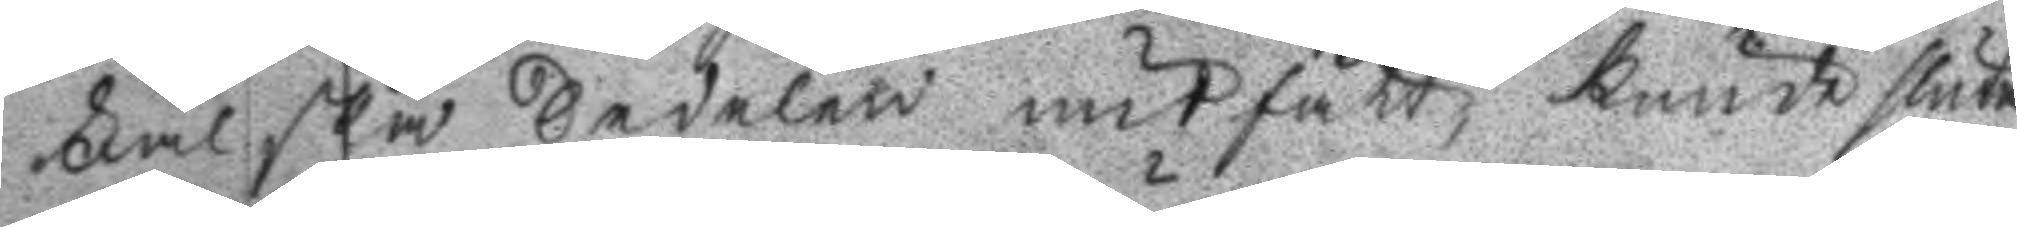Falska Sedelen undfått, kunde sluta
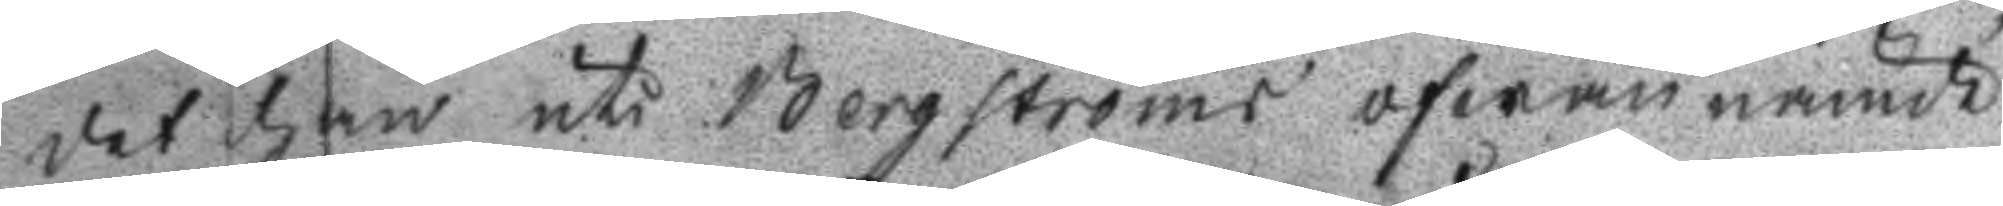det han uti Bergströms ofwannämde
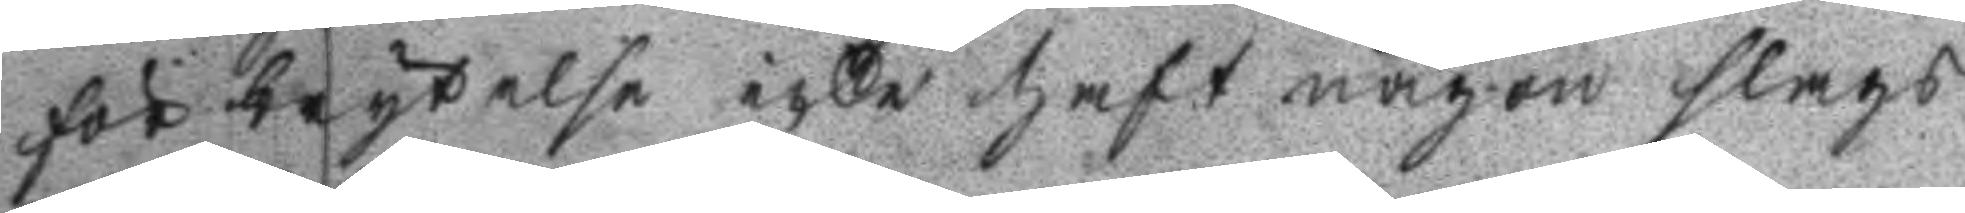förbrytelse icke haft någon slags
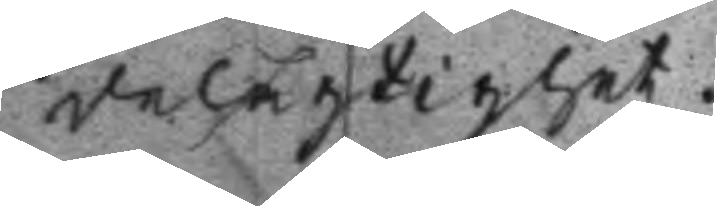delagtighet.
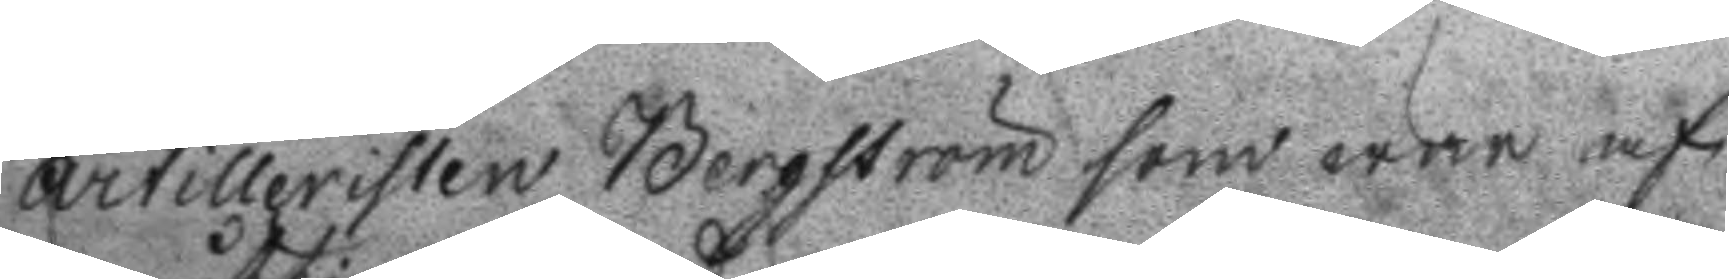artilleristen Bergström som war af
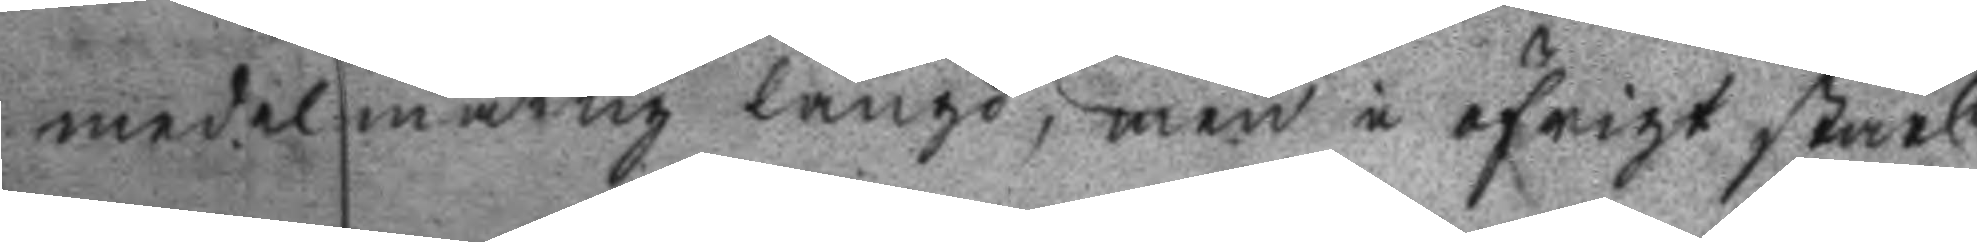medelmåttig längd, men i öfrigt stark
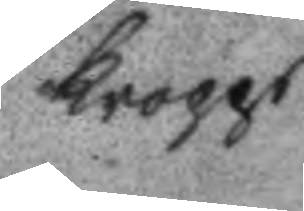kropps
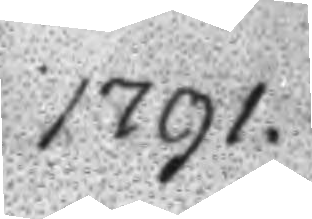1791.
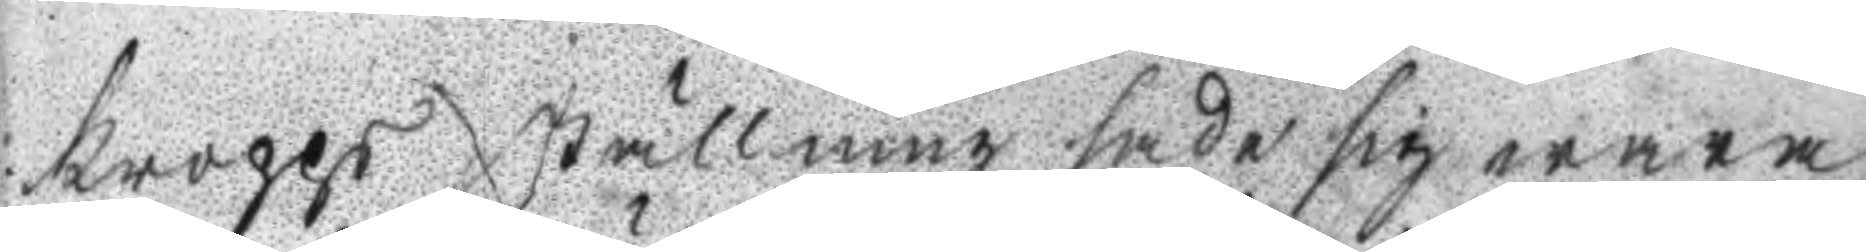kropps ställning sade sig wara
